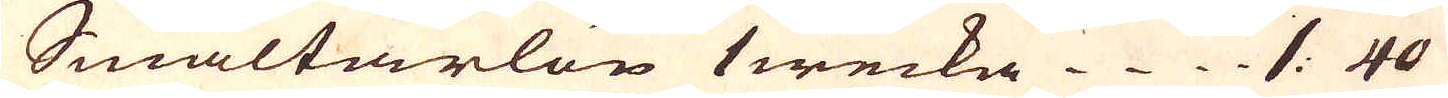Smältarlön 1 wecka. 1. 40
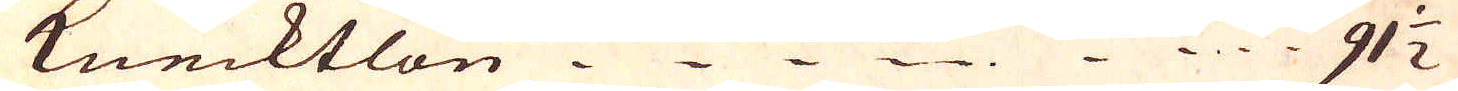knecktlön 91 1/2
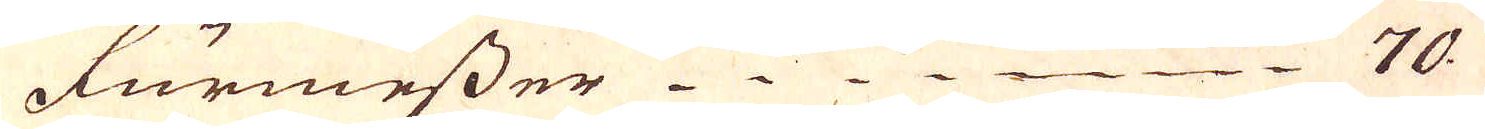Furmesser 70.
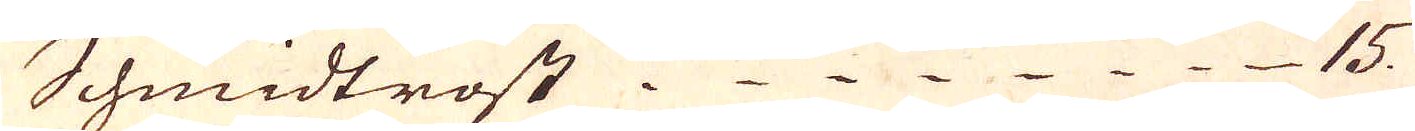Schmidtrost. 15.
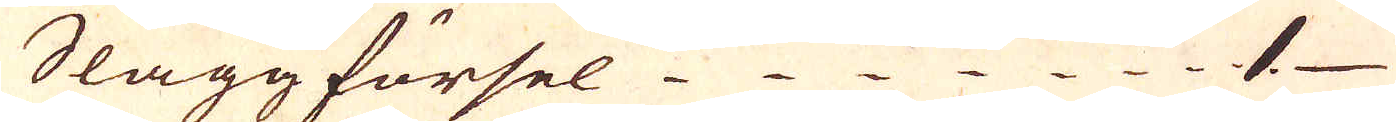Slagg försel 1.
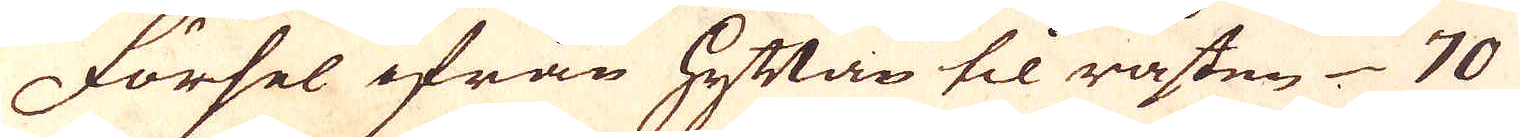Försel ifrån hyttan til råsten 70
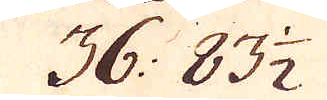36: 83 1/2
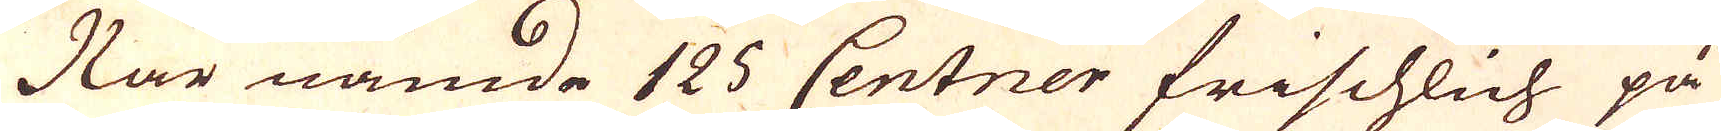När nämde 125 Centner frischlich på
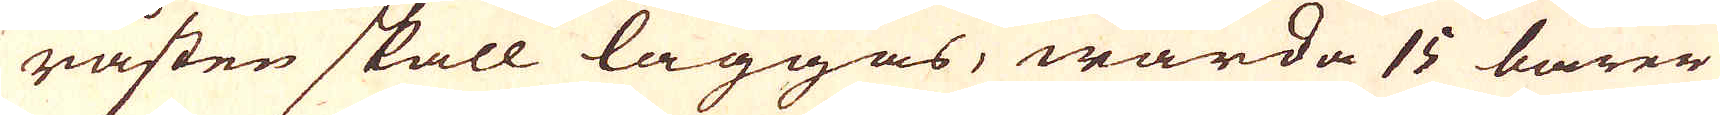råsten skall läggas, warda 15 barer
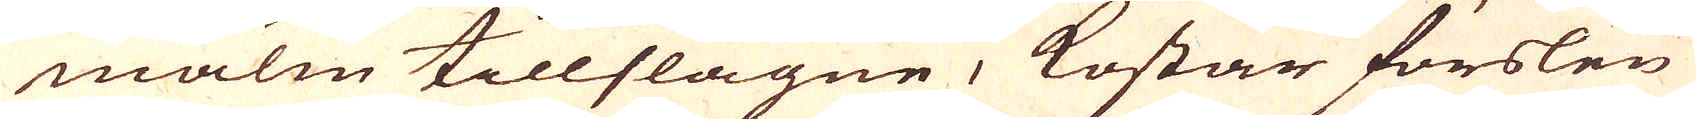malm tillslagne, kostar förslen
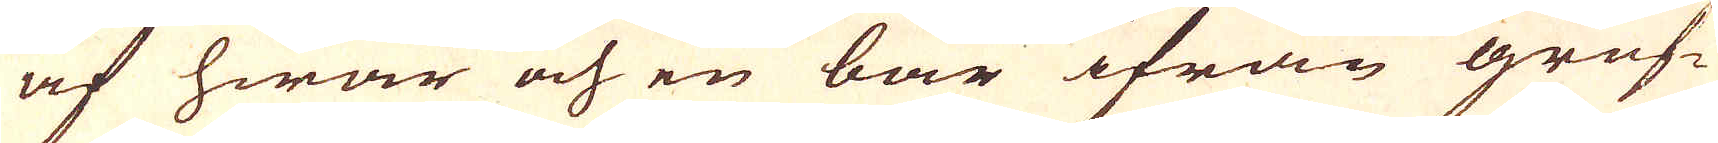af hwar och en bar ifrån gruf-
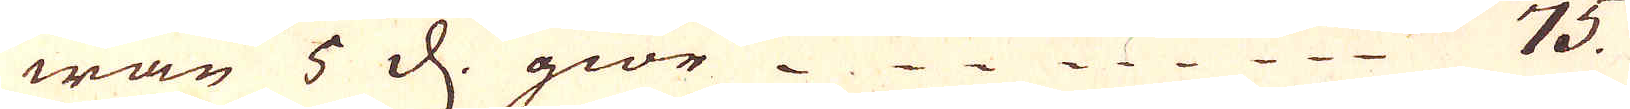wan 5 d. giör 75.
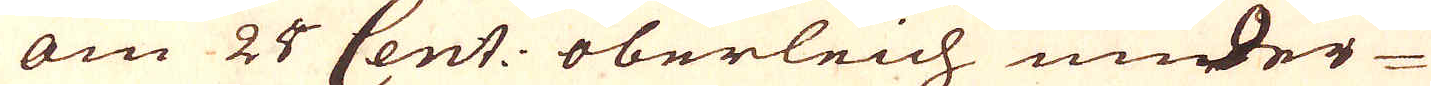om 24 Cent: oberleich under
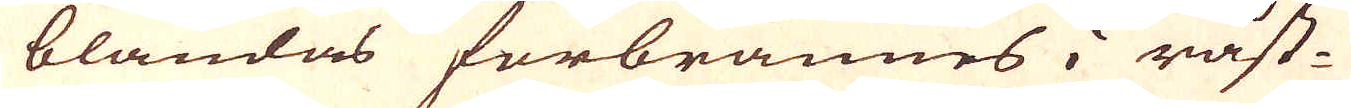blandas förbrännes i råst-
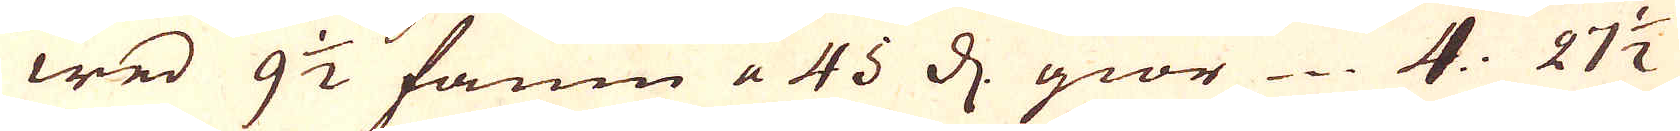wed 9 1/2 famn a 45 d. giör 4. 27 1/2
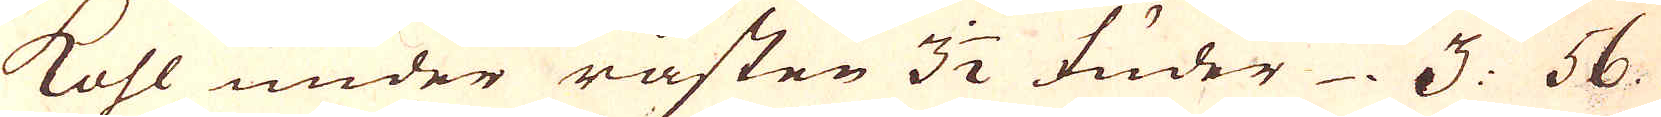kohl under råsten 3 1/2 fuder 3. 56.
